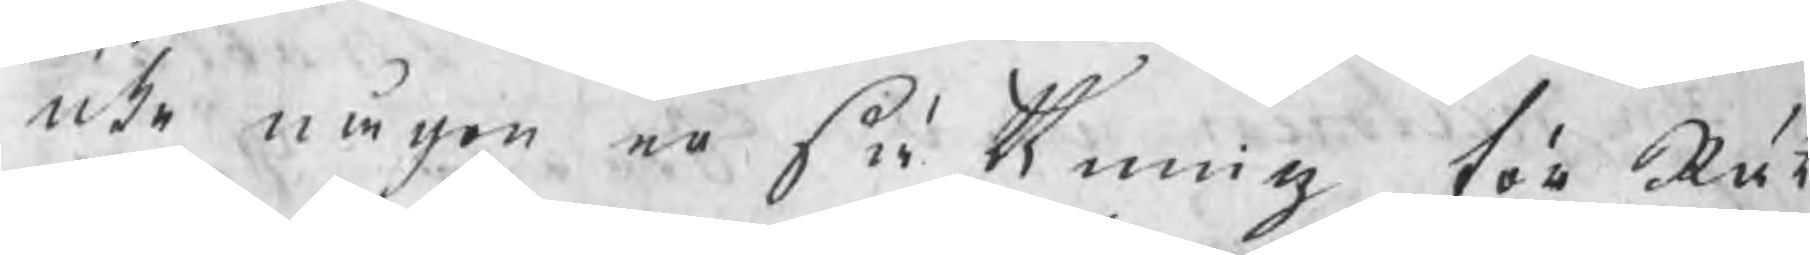icke någon ersättning för Rät
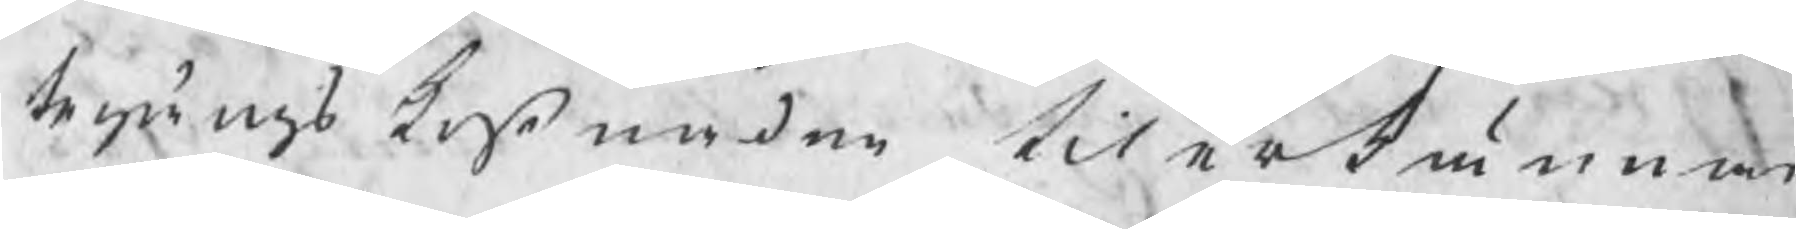tegångskostnaden tilerkännas,
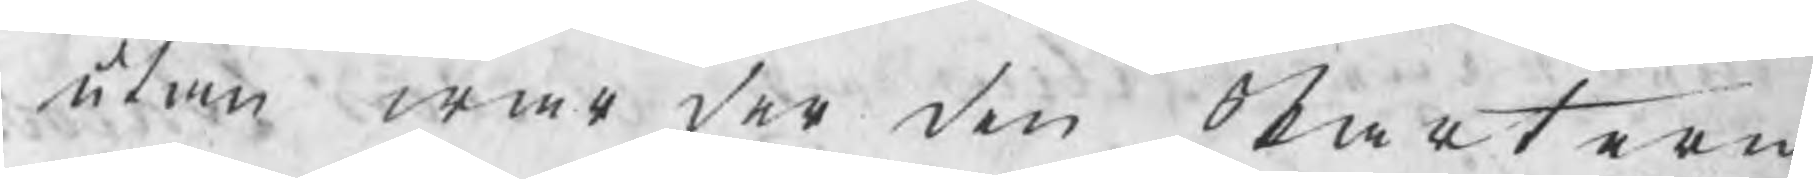utan war der den Parterne
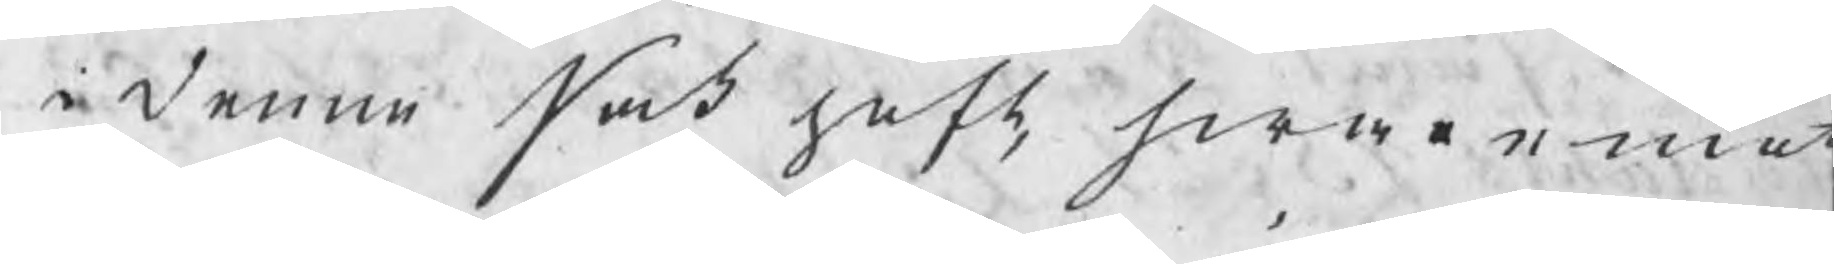i denne sak haft hwaremot
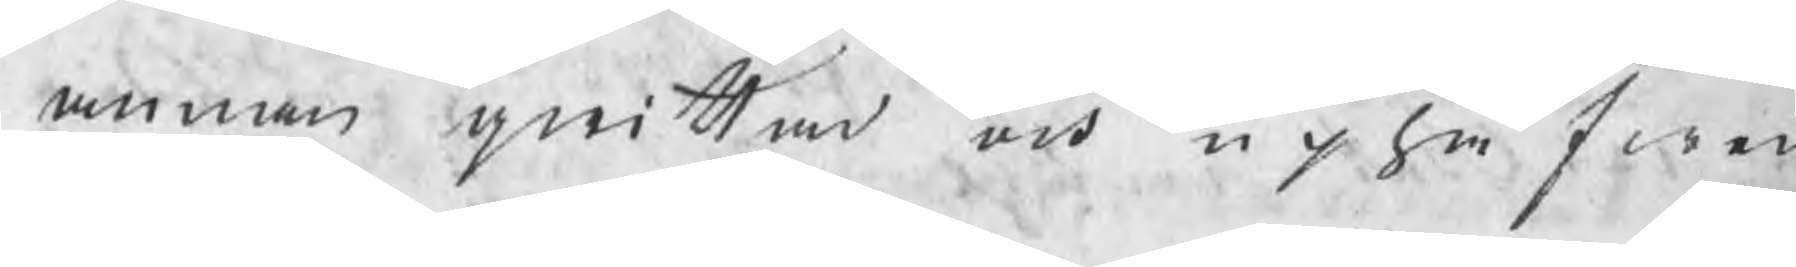annan qwittad och uphäfwen
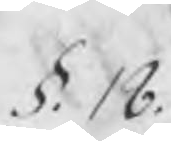§. 18.
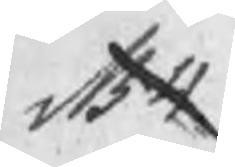NB 4
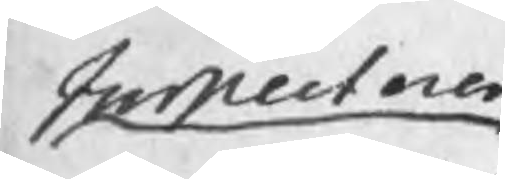Inspectoren
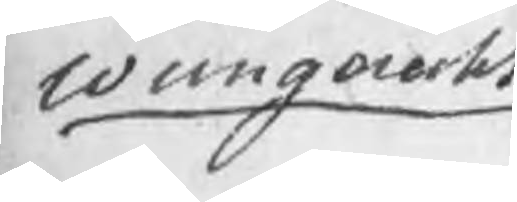Wungerecht
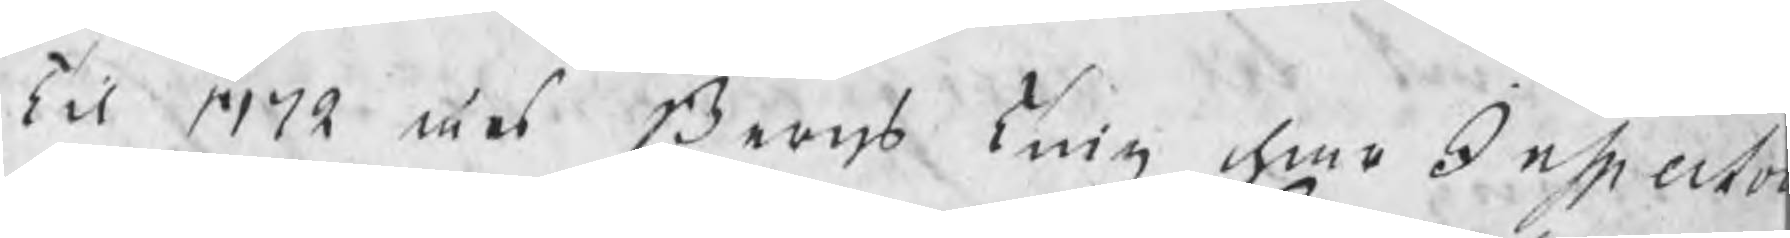Til 1772 års Bergs Ting har Inspecto
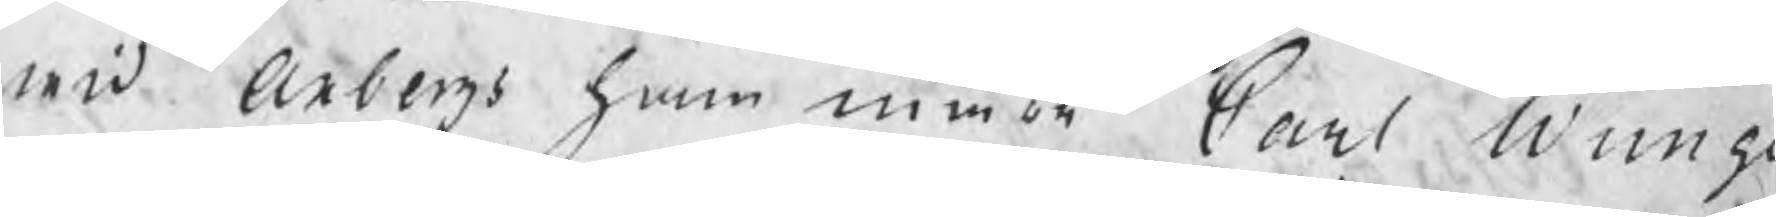wid Axbergs hammar Carl Wung
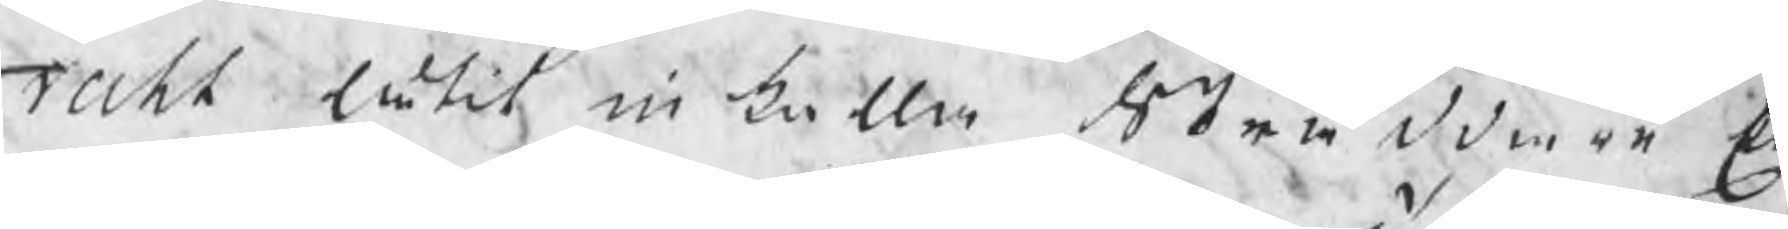recht låtit in kalla Skräddare E
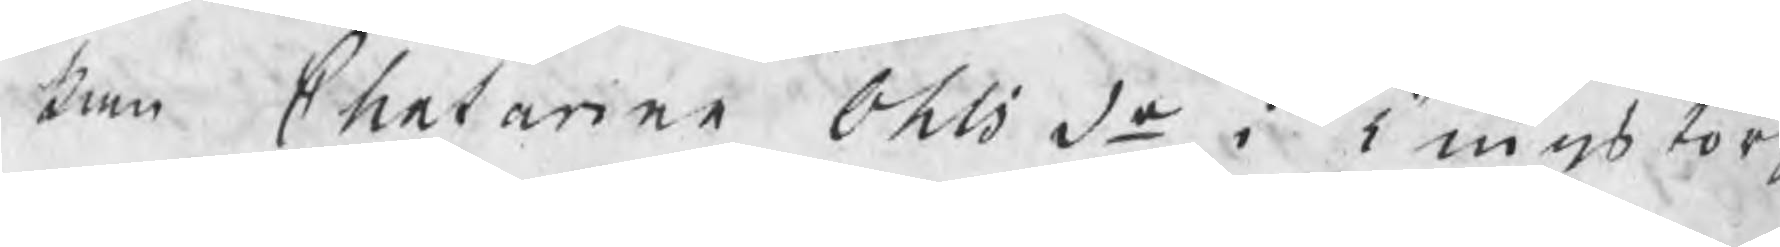kan Chatarina Ohlsdr i Tingstorp
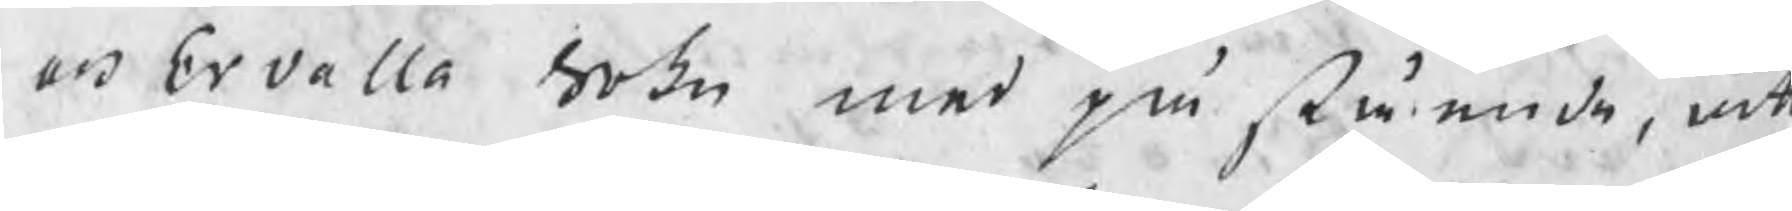och Ervalla Sokn med på stående, a
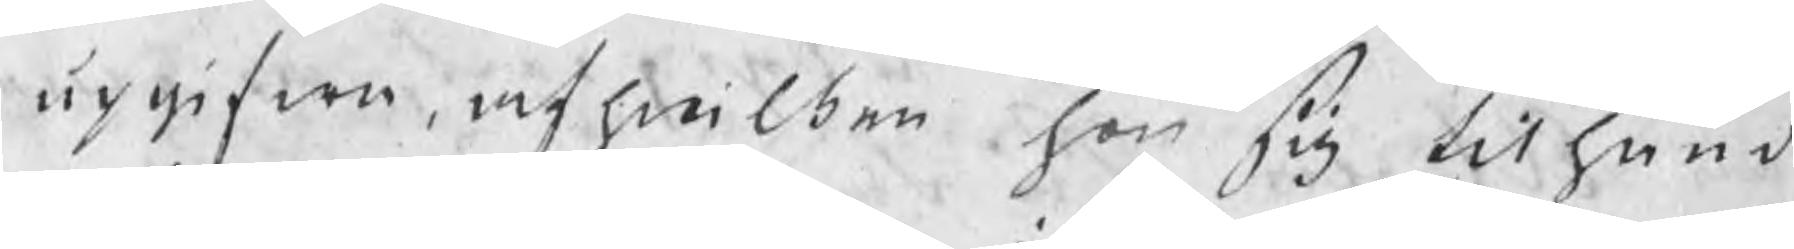upgifwen, af hwilken han sig tilhand
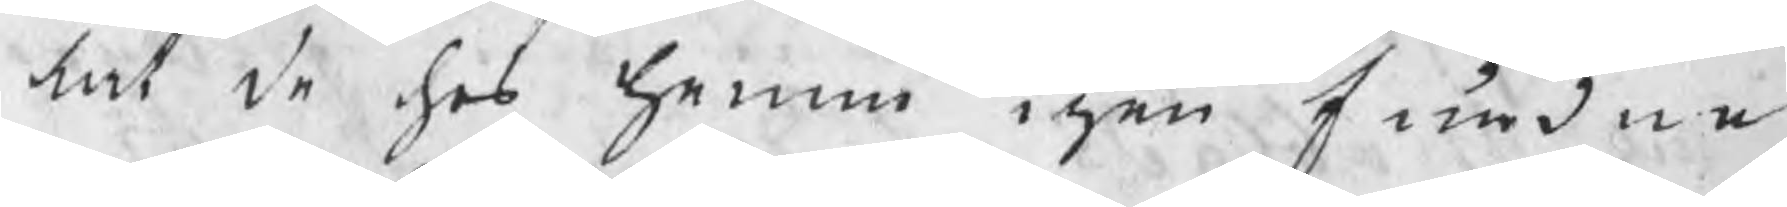lat de hos honom igen fundne
